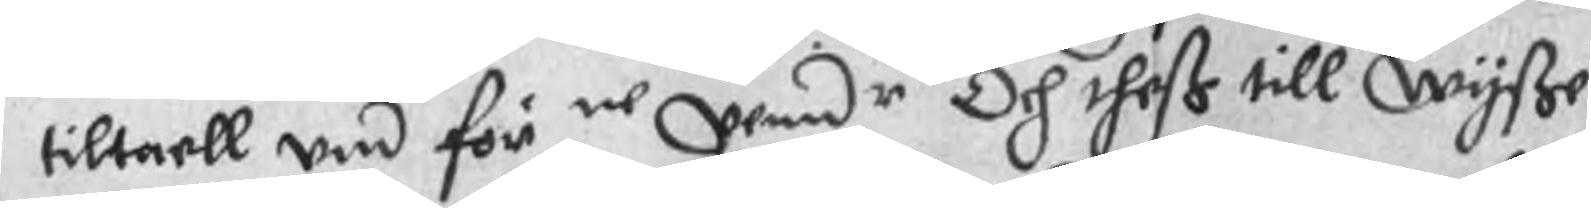tiltaell und för ne penir Och theß till Wyße
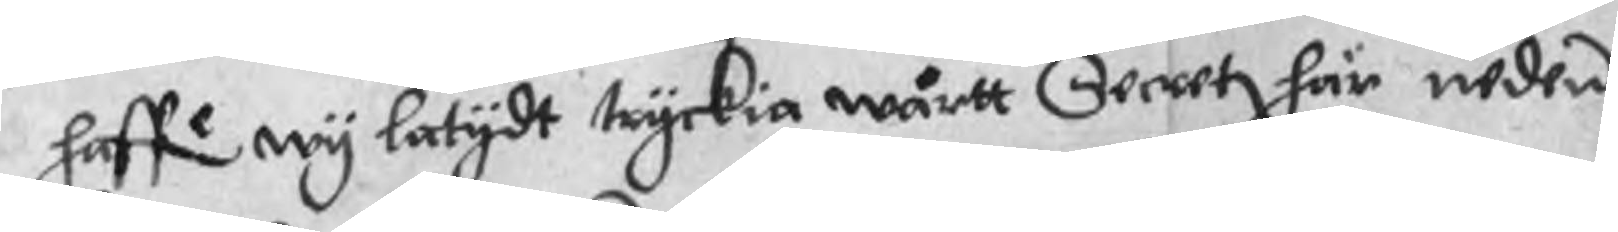haffe wy latydt tyckia wårtt Secret här neden
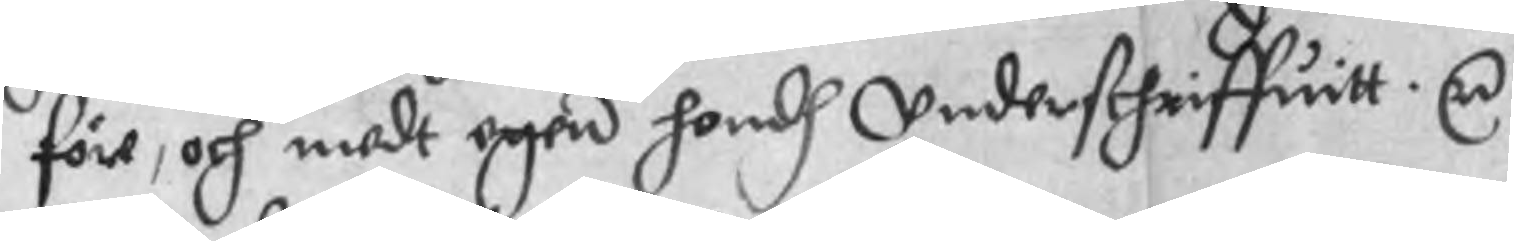före, och medt egen handh underskhriffuitt. r
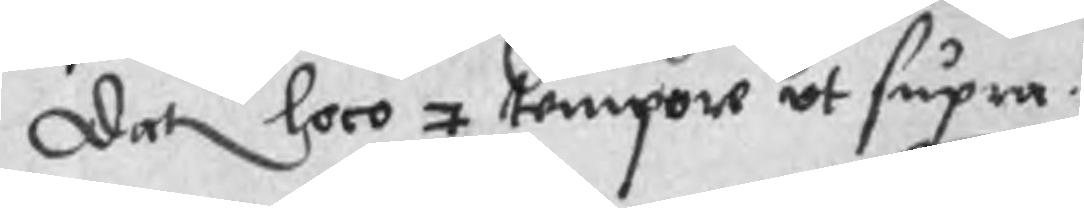Dat loco 7 tempore ut supra.
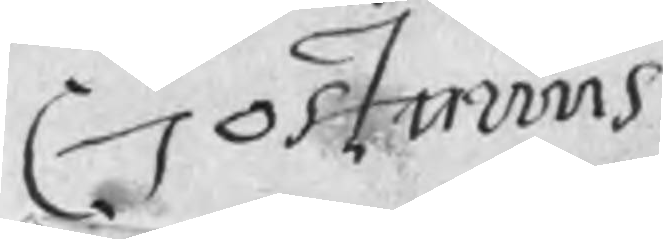Gostawus
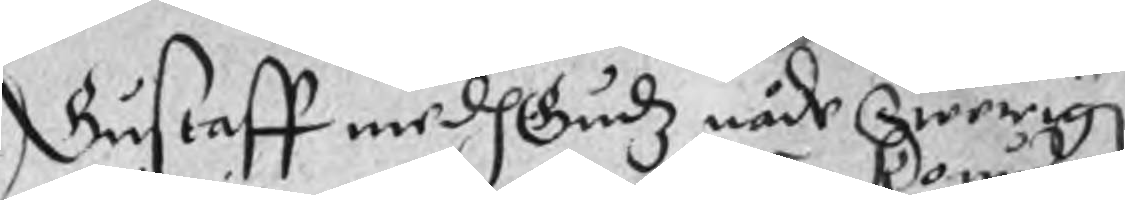Gustaff medh Gudz nåde Swerig
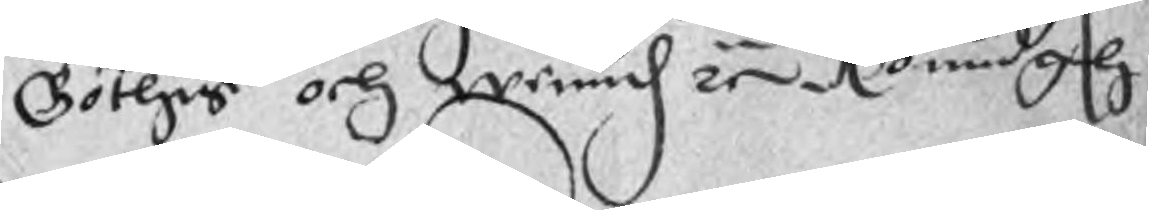Göthis och Wend re Konungh
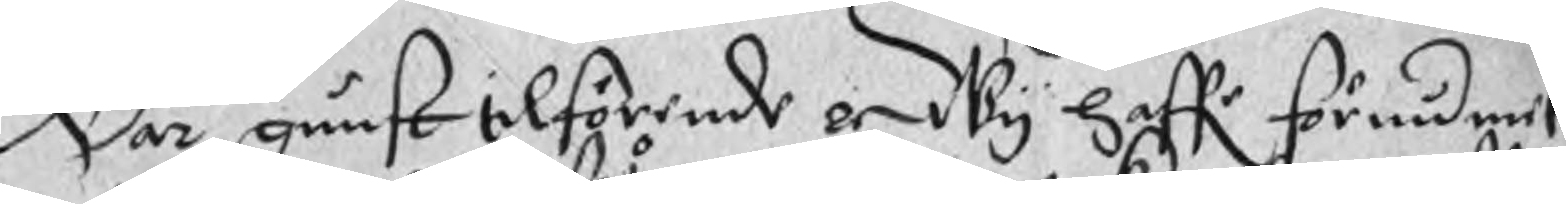Wår qunst tilförende er Wy haffr förundmit
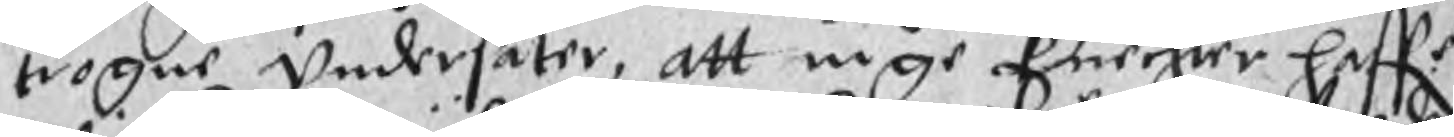trogne undersåter, att inge Cnechter haffr
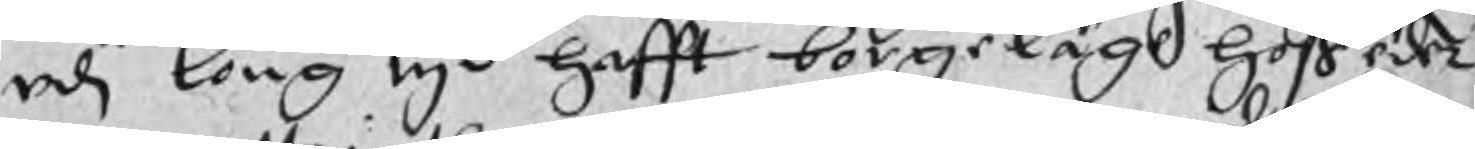udi long tyd hafft borgeläge hoß eder
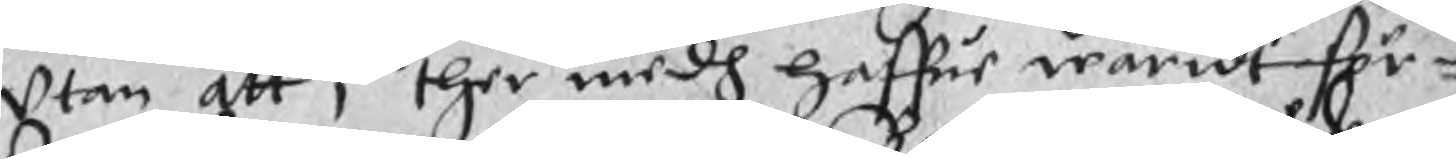utan att i ther medh haffur waridt för¬
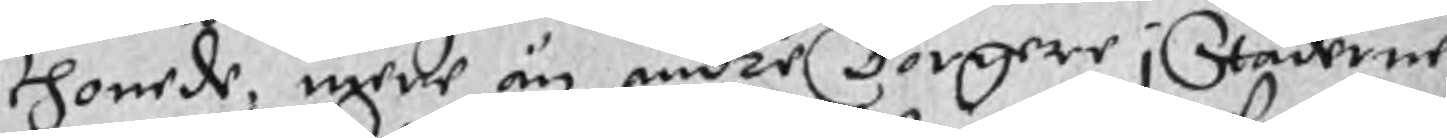skhonede, mere än andre Borgere i Städerne
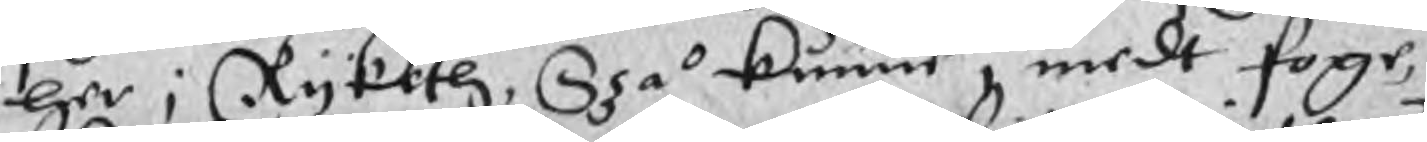her i Ryketh, Szå kunne i medt foge,
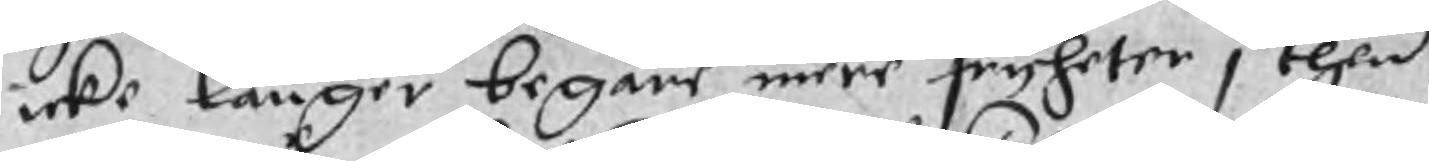icke länger begäre mere fryheter i then
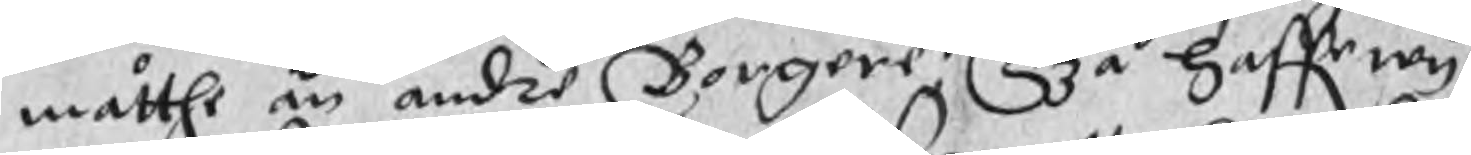måtthe än andre Borgere Szå haffr wy
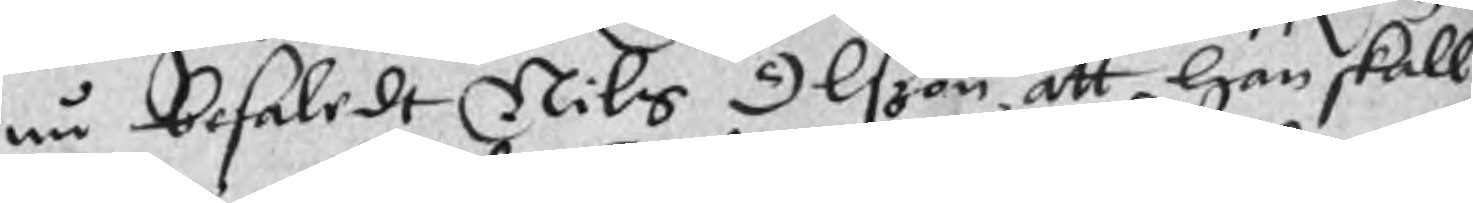nu befaledt Nils Olszon, att han skall
